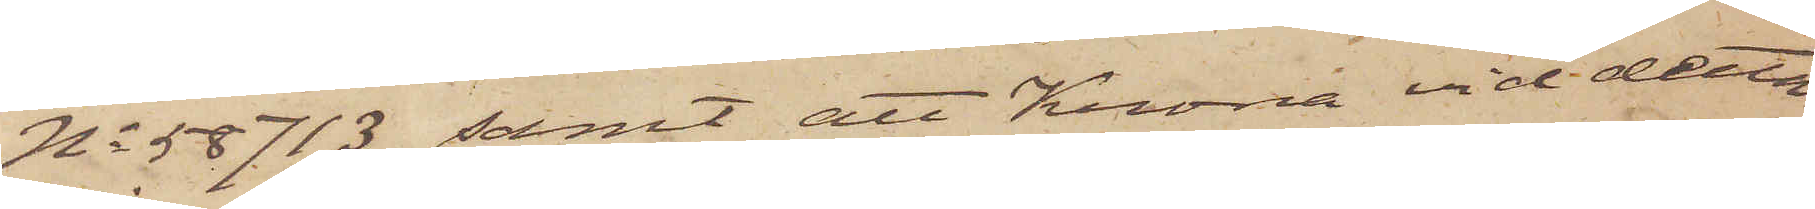No 58713 samt att Krona vid detta
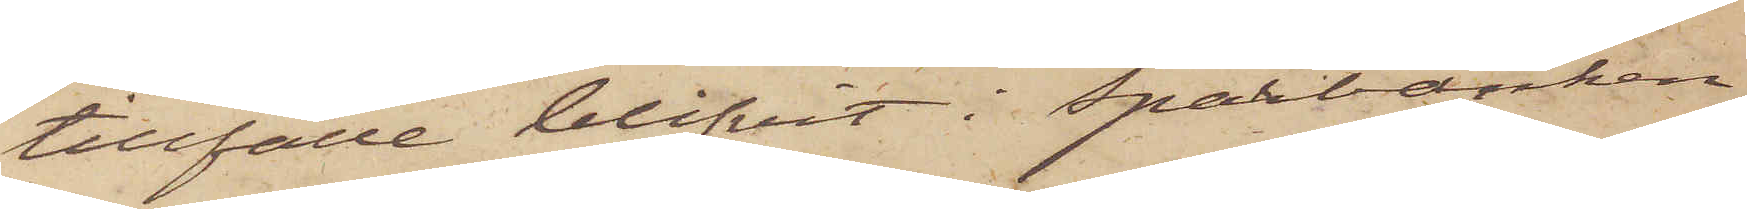tillfälle blifvit i Sparbanken
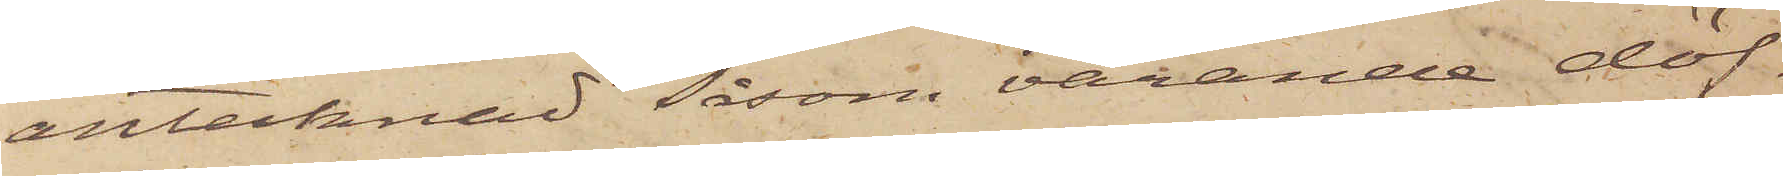antecknad såsom varande döf¬
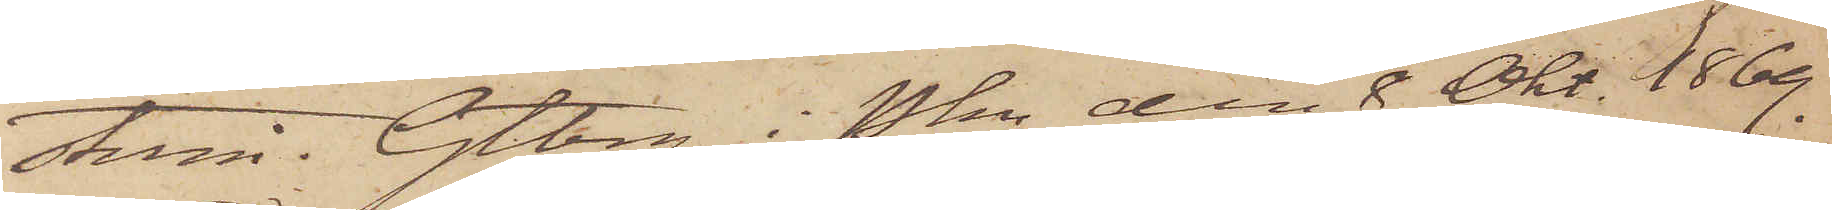stum. Gtbrg i Pkn den 8 Okt 1869.
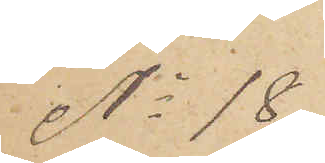No 18
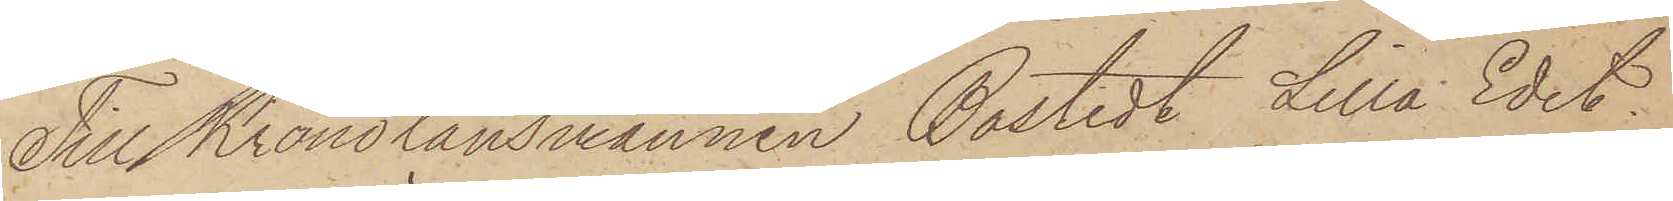Till Kronolänsmannen Bostedt Lilla Edet.
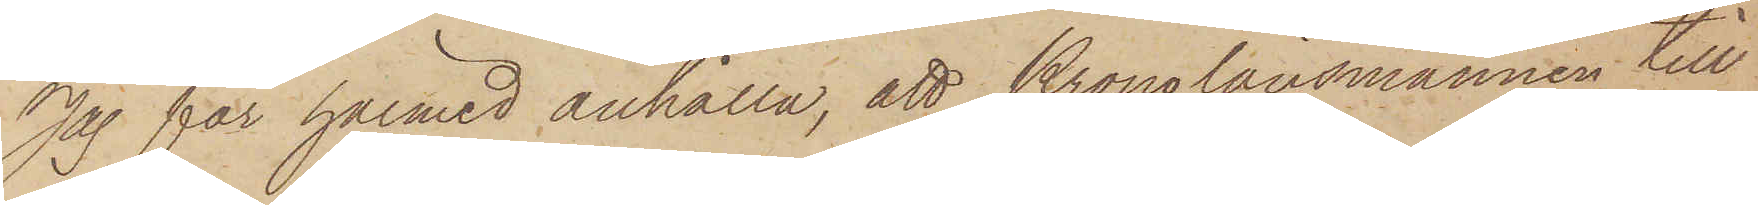Jag får härmed anhålla, att Kronolänsmannen till
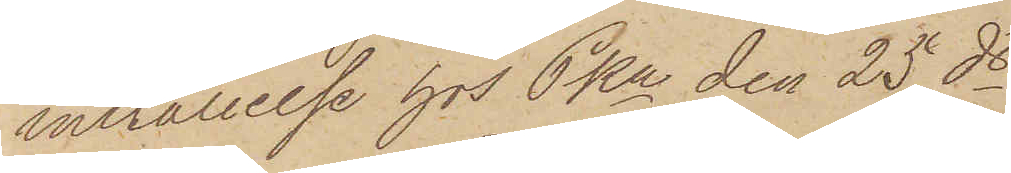inställelse hos Pkn den 25 ds
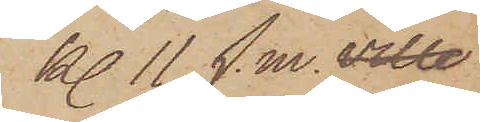kl 11 f.m. ville
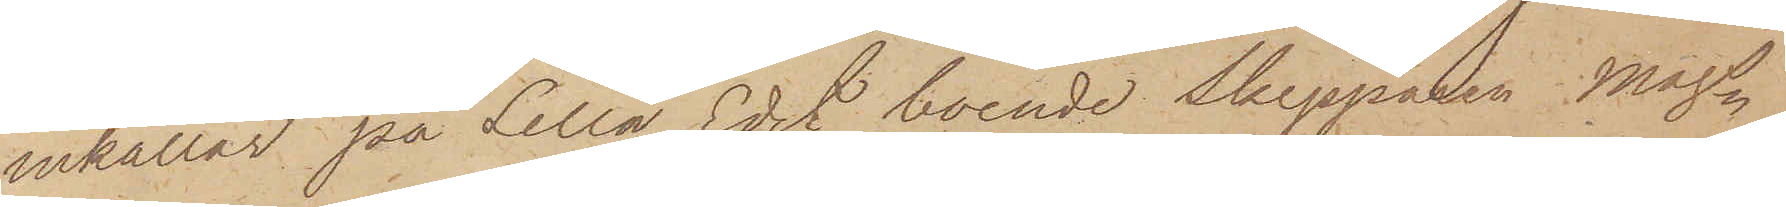inkallar på Lilla Edet boende Skepparen Mags
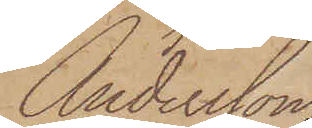Andersson
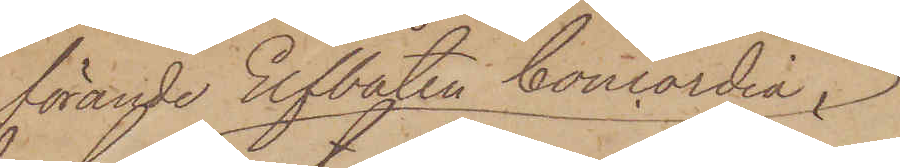förande Elfbåten Concordia,
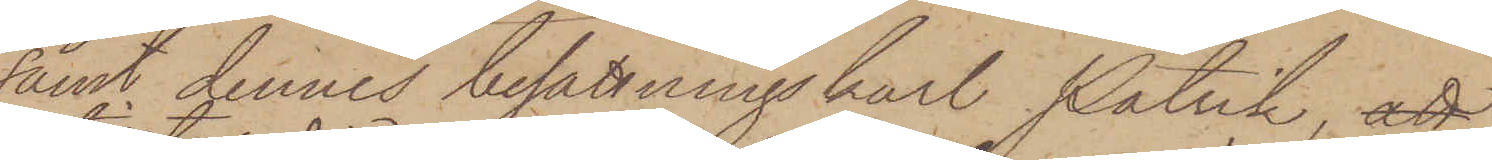samt dennes besättningkarl Patrik, att
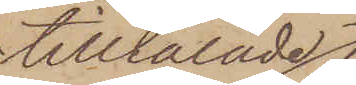tilltalade
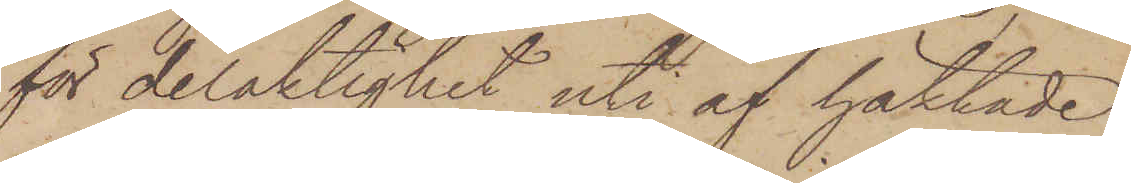för delaktighet uti af häktade
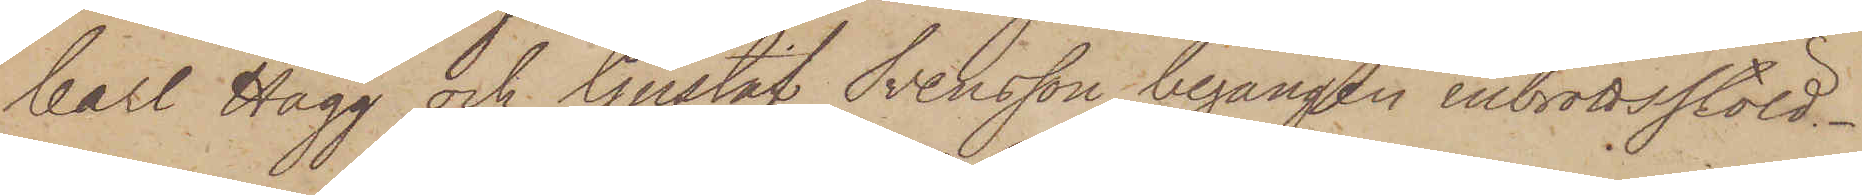Carl Hägg och Gustaf Svensson begången inbrottsstöld.
